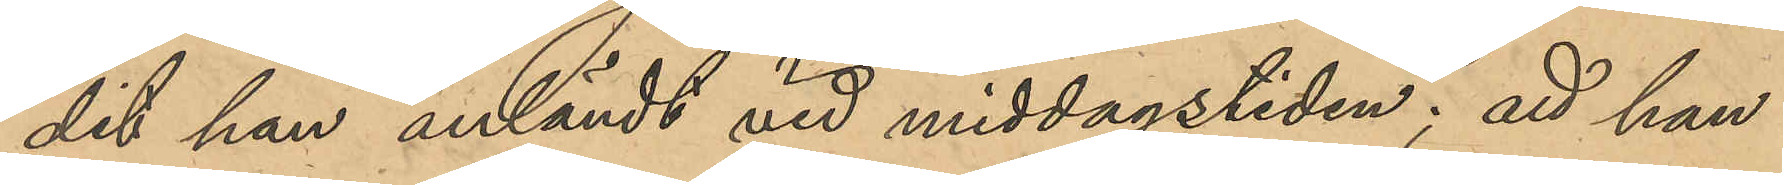dit han anländt vid middagstiden; att han
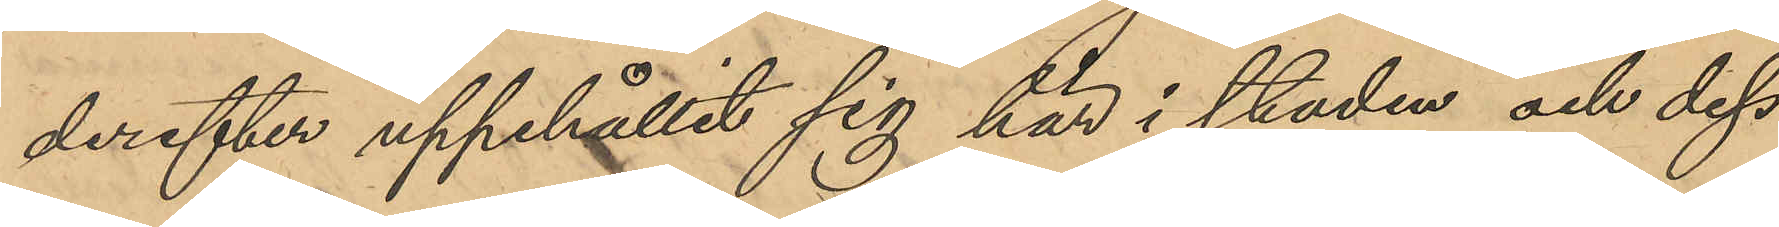derefter uppehållit sig här i stden och dess
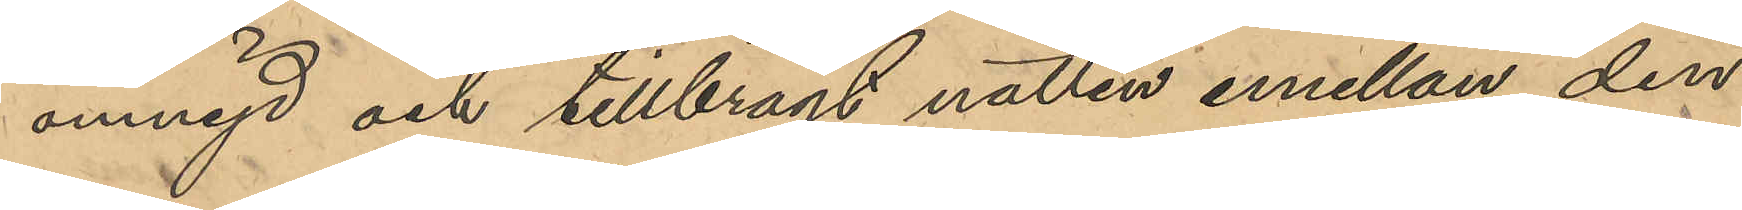omnejd och tillbragt natten emellan den
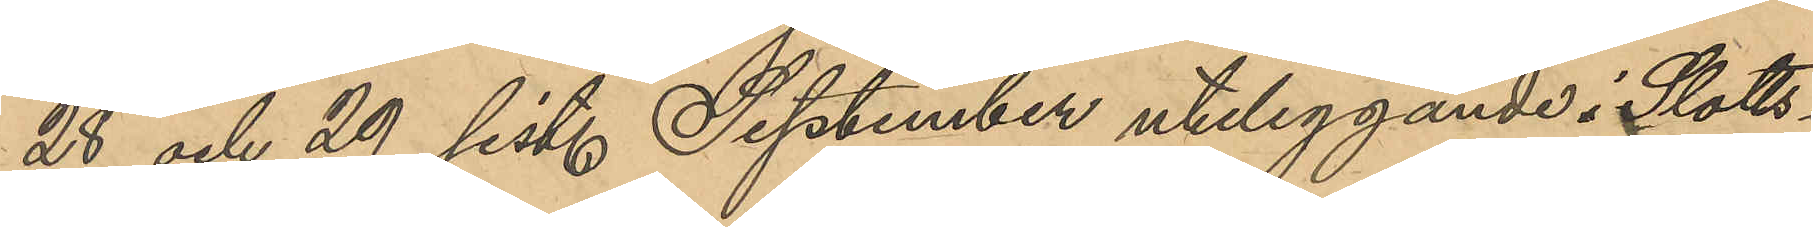28 och 29 sist. September uteliggande i Slotts¬
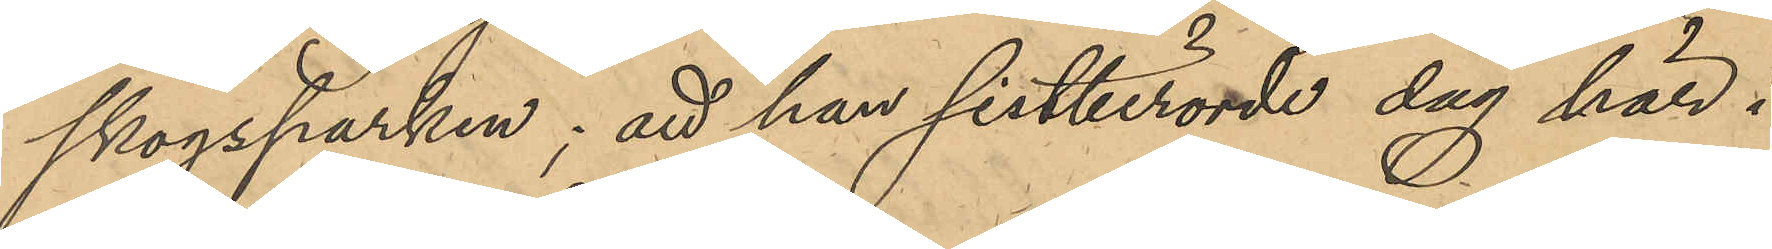skogsparken; att han sistberörde dag här i
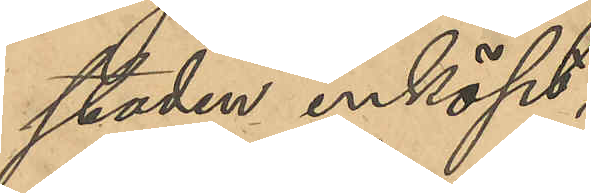staden inköpt,
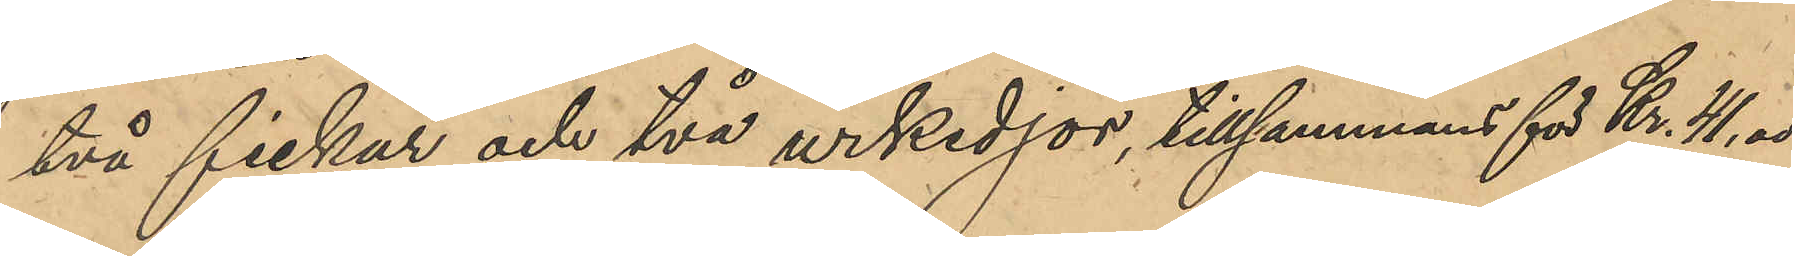två fickur och två urkedjor, tillsammans för Kr. 41,00
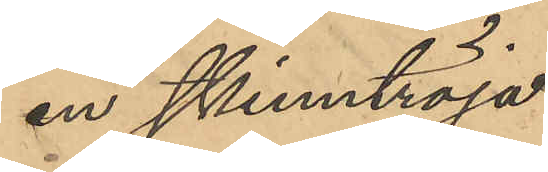en skinntröja
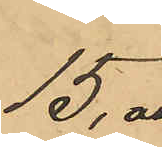15,00
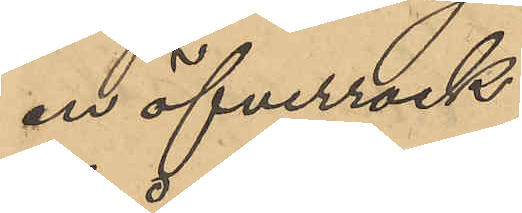en öfverrock
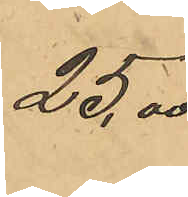25,00
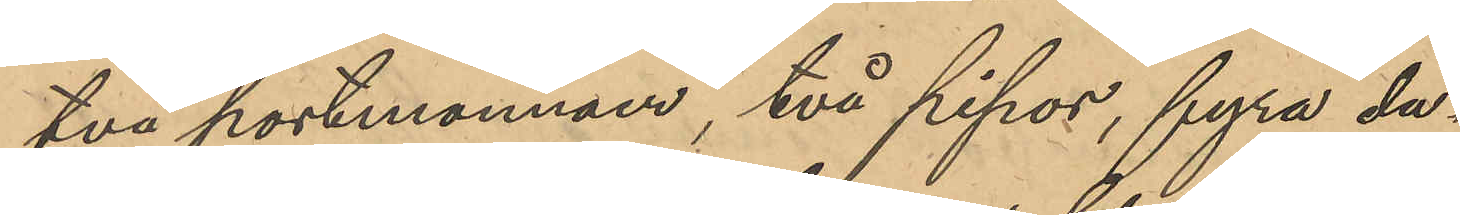två portmonnäer, två pipor, fyra du¬
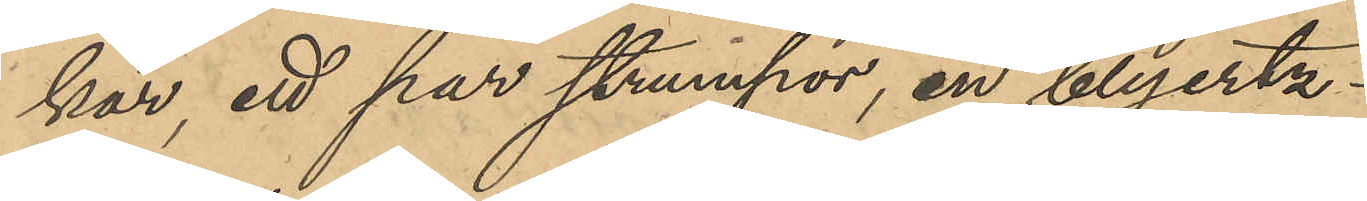kar, ett par strumpor, en blyertz¬
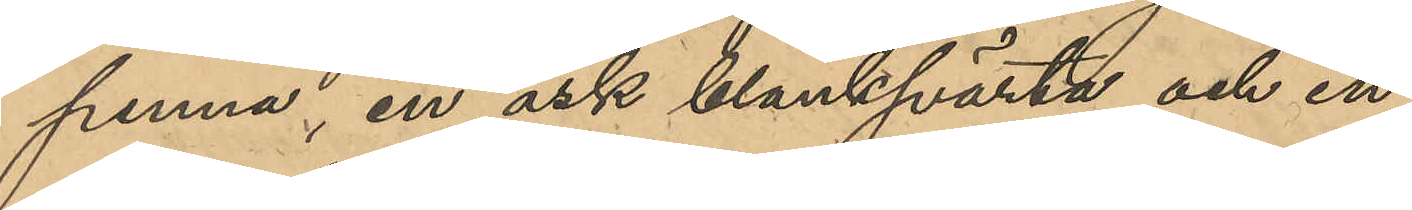penna, en ask blanksvärta och en
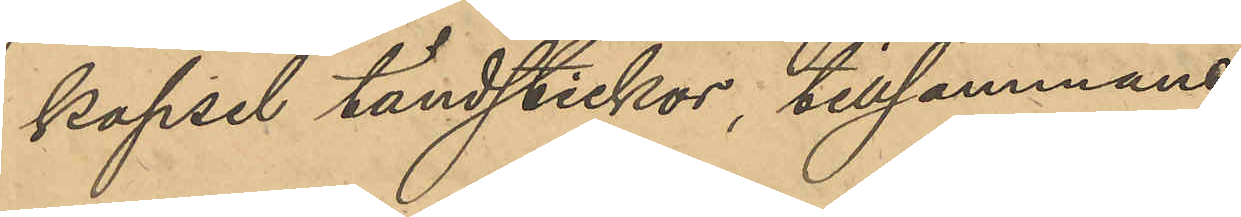kapsel tändstickor, tillsammans
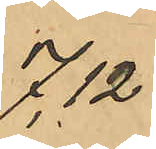7,12
